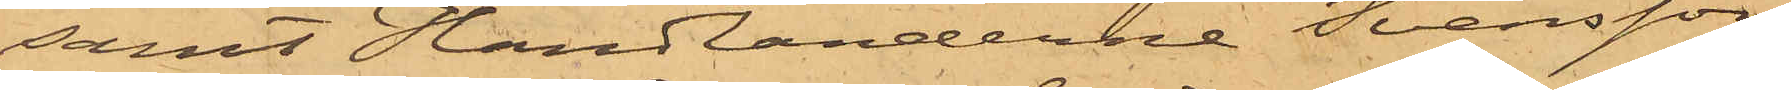samt Handlanderne Svensson
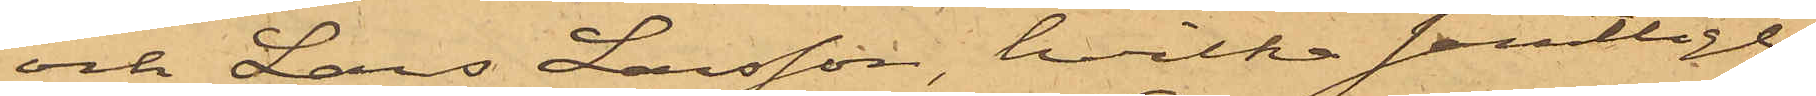och Lars Larsson, hvilka samtlige
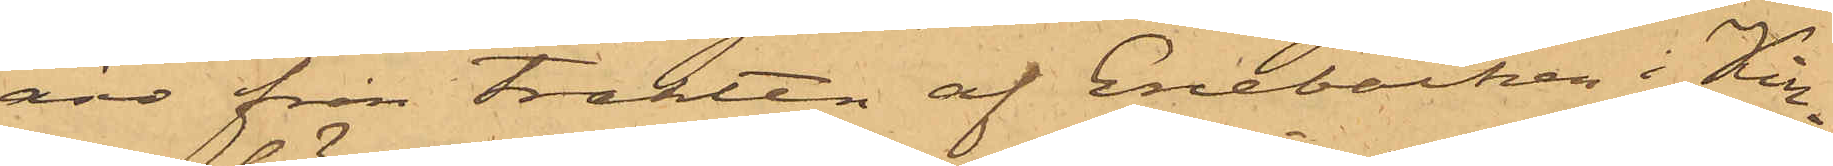äro från trakten af Enebacken i Kin¬
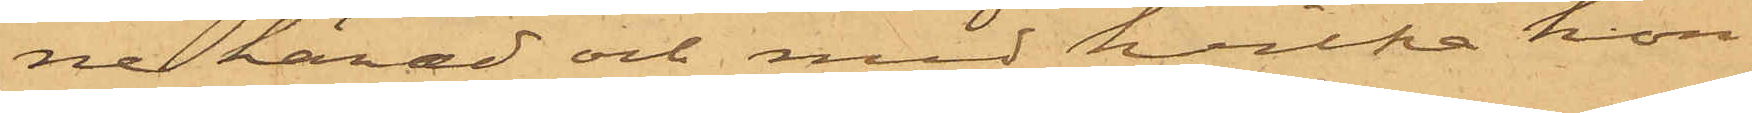ne härad och med hvilka hon
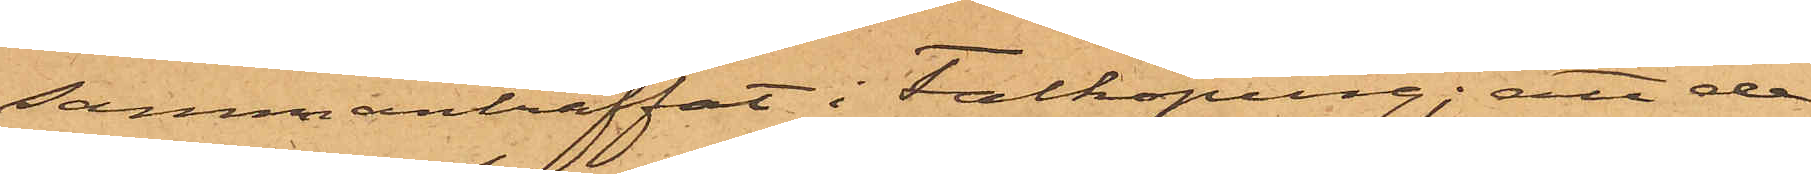sammanträffat i Falköping; att de
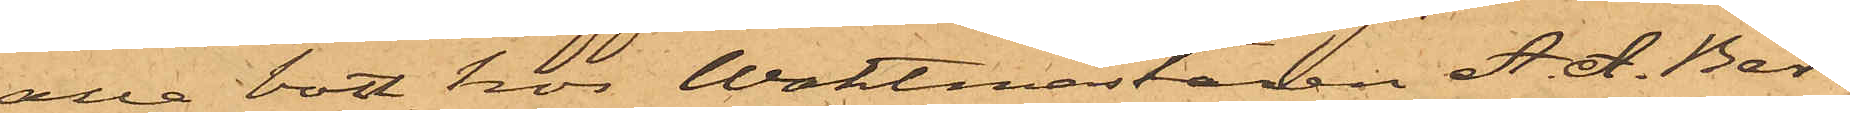alla bott hos Waktmästaren A. A. Ber¬
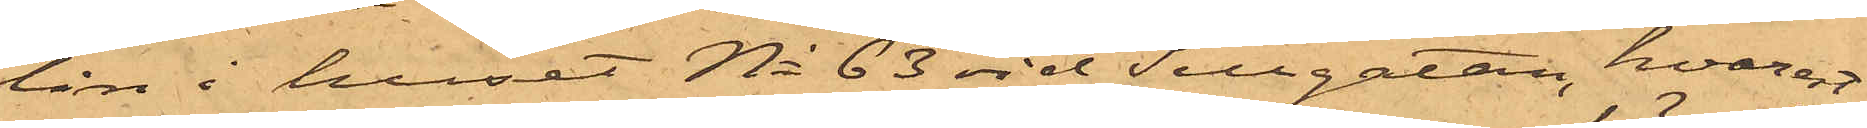lin i huset No 63 vid Sillgatan, hvarest
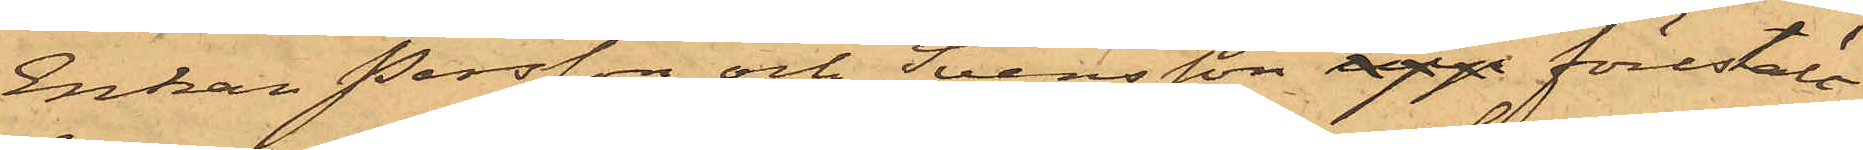Enkan Persson och Svensson upp föreställt
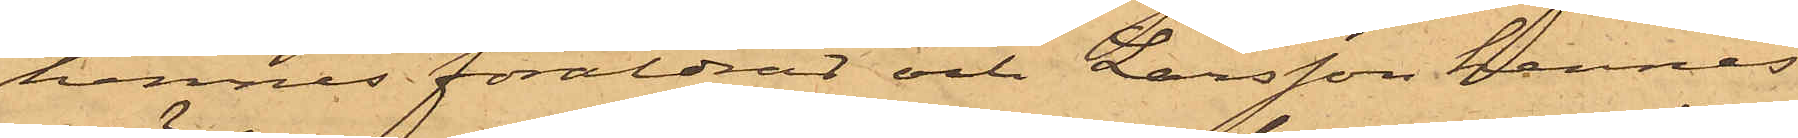hennes föräldrar och Larsson hennes
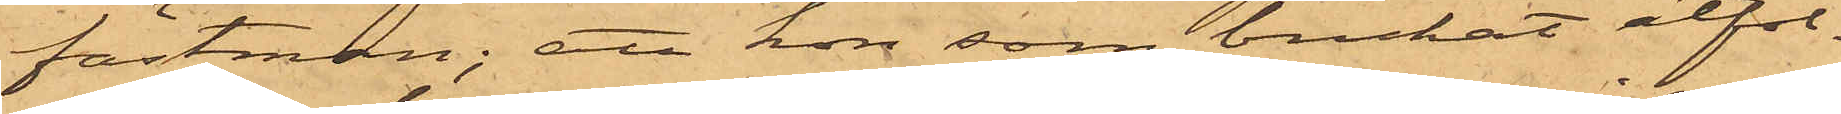fästman; att hon som brukat åtföl¬
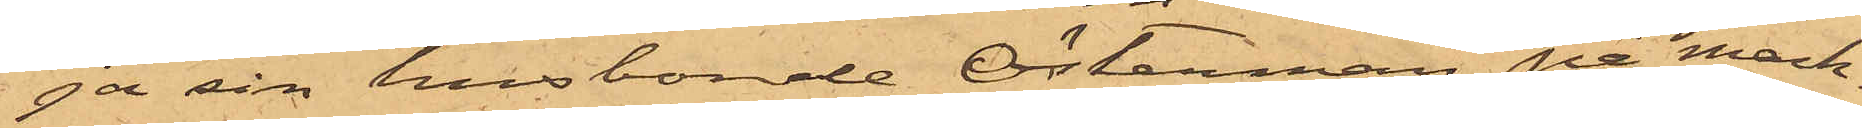ja sin husbonde Österman på mark¬
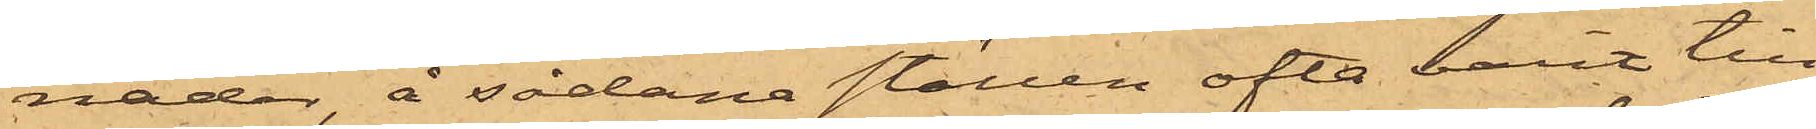nader, å sådana ställen ofta varit till¬
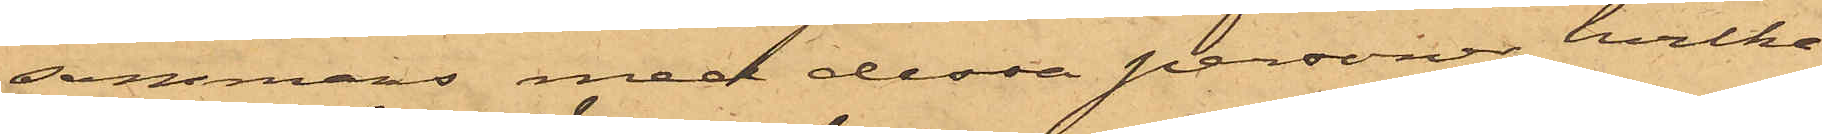sammans med dessa personer, hvilka
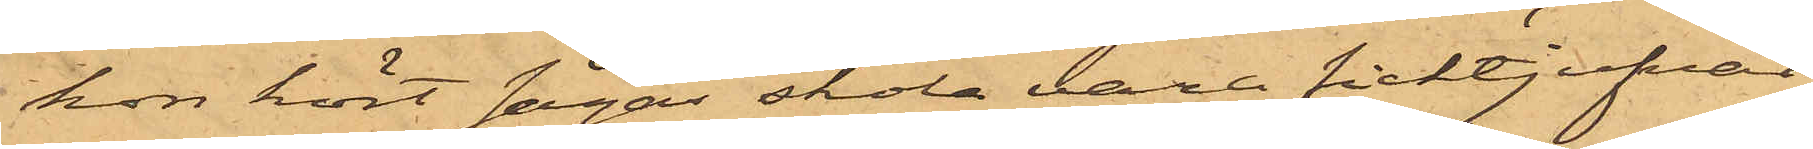hon hört sägas skola vara ficktjufvar,
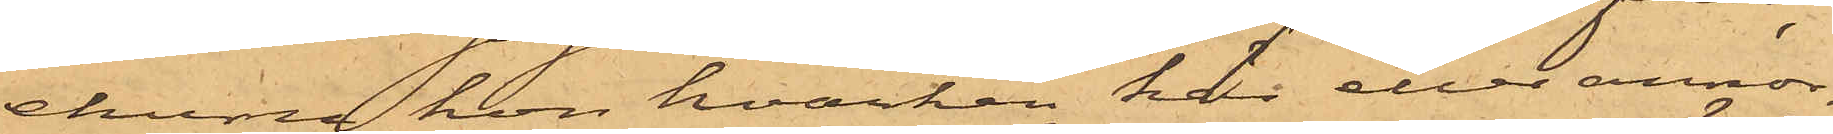ehuru hon hvarken här eller annor¬
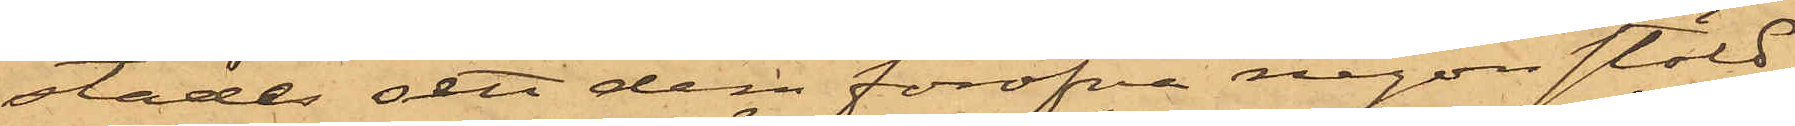städes sett dem föröfva någon stöld;
